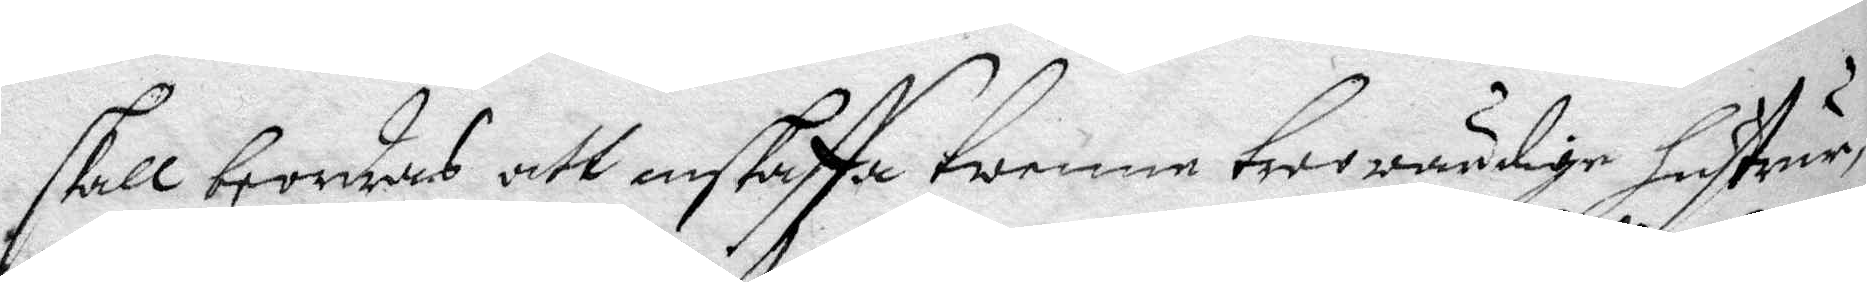skall beordras att anskaffa twenne trowärdige hustrur,
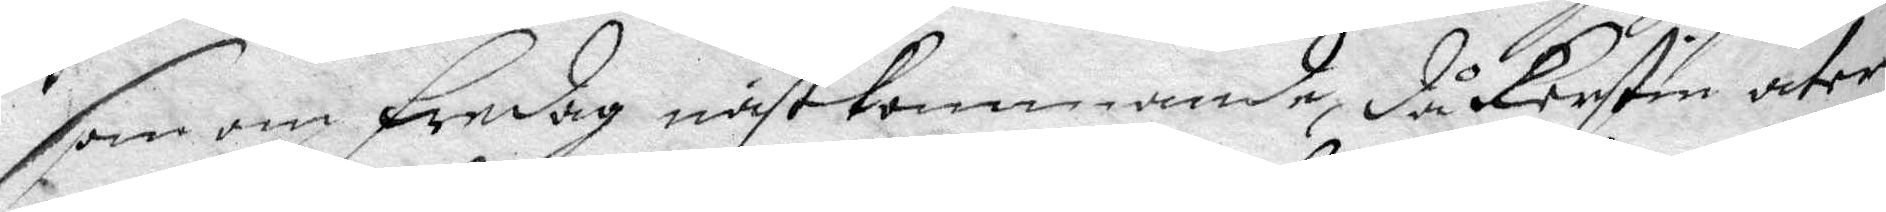som om Fredag nästkommande, då Kerstin åter
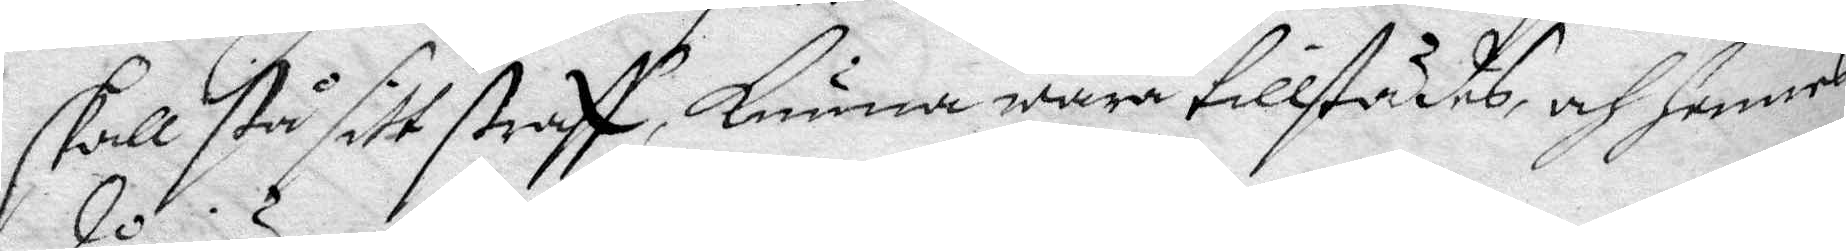skall stå sitt straff, kunna wara tillstädes och hennes
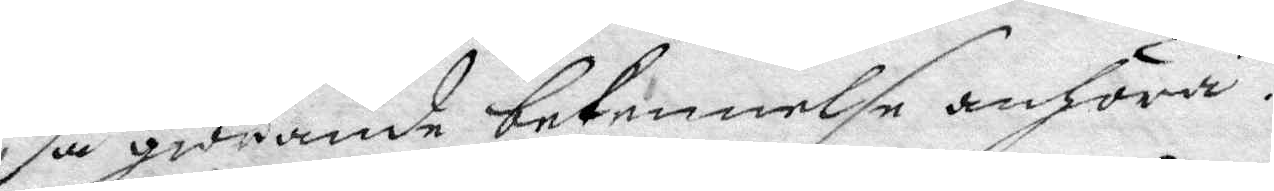då giörande bekennelse anhöra.
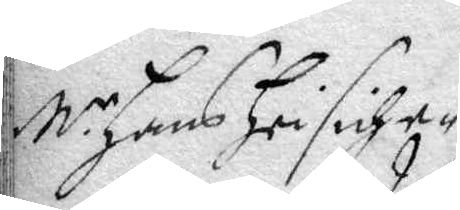M.r Hans Hrisich e¬
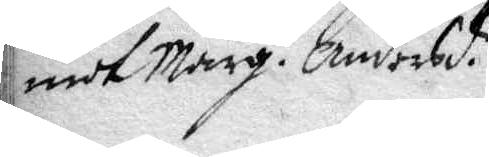mot Marg. Andersd.r
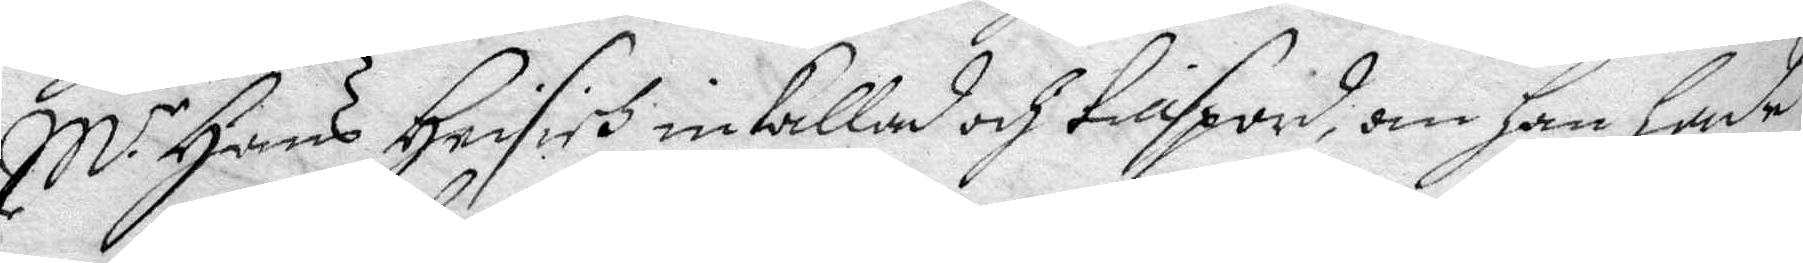M.r Hans Hrisirh inkallad och tillspord, om han hade
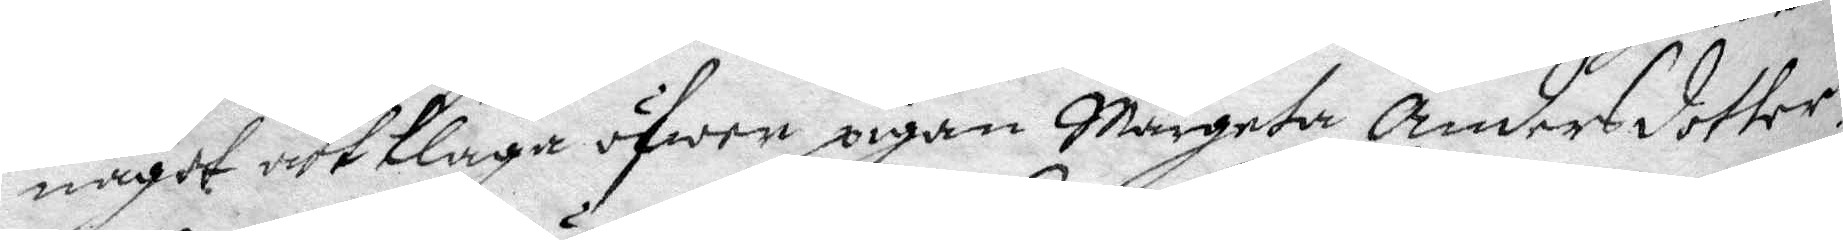något att klaga öfwer pigan Margeta Andersdotter?
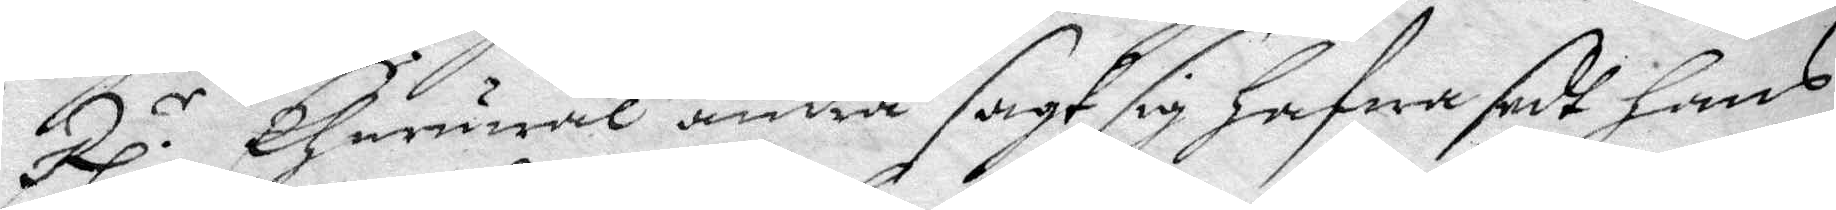Rp.r Ehuruwäl andra sagt sig hafwa sedt hans
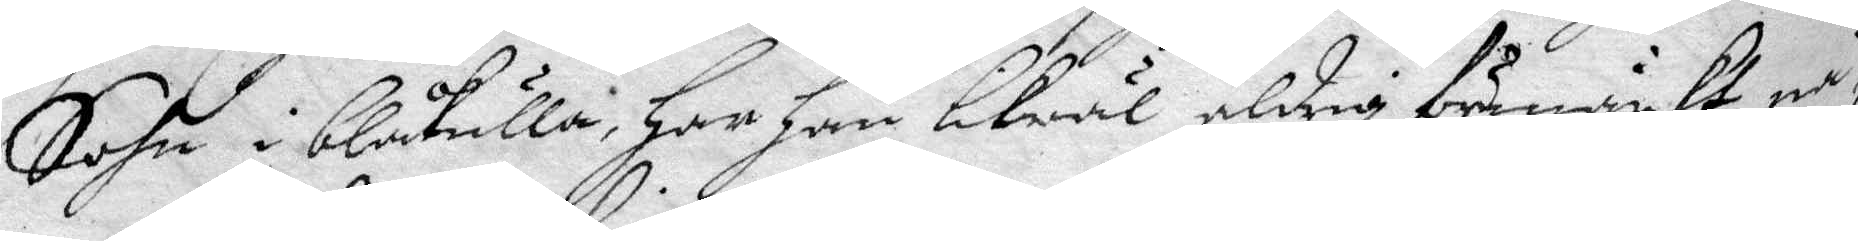Sohn i blåkulla, har han likwäl aldrig förmärkt nå¬
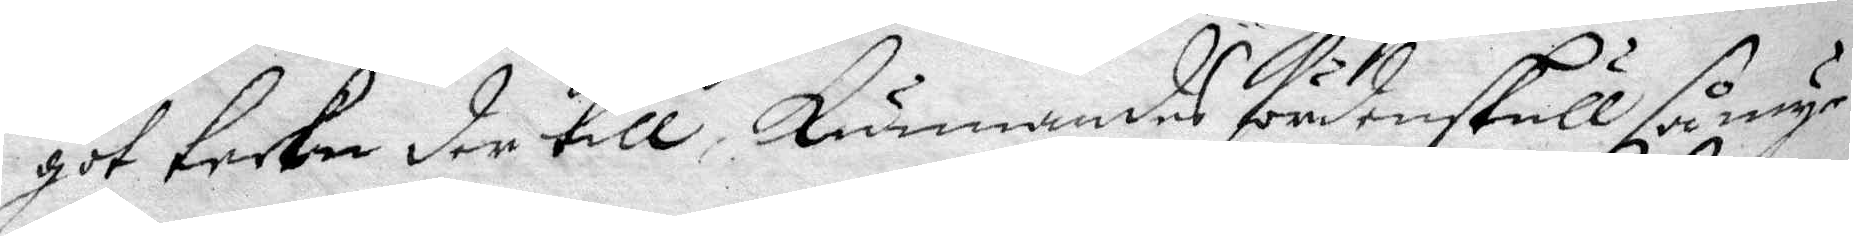got tecken der till, kunnandes fördenskull så myc¬
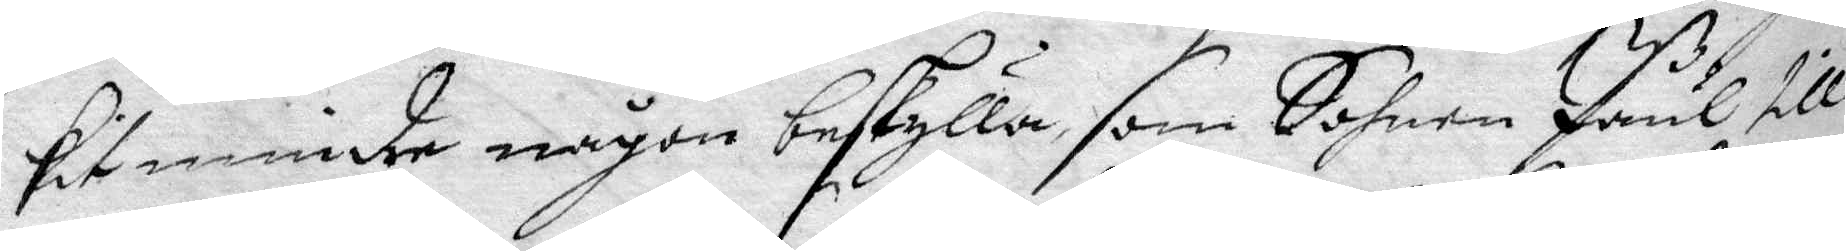kit mindre någon beskylla som Sohnen Påul till
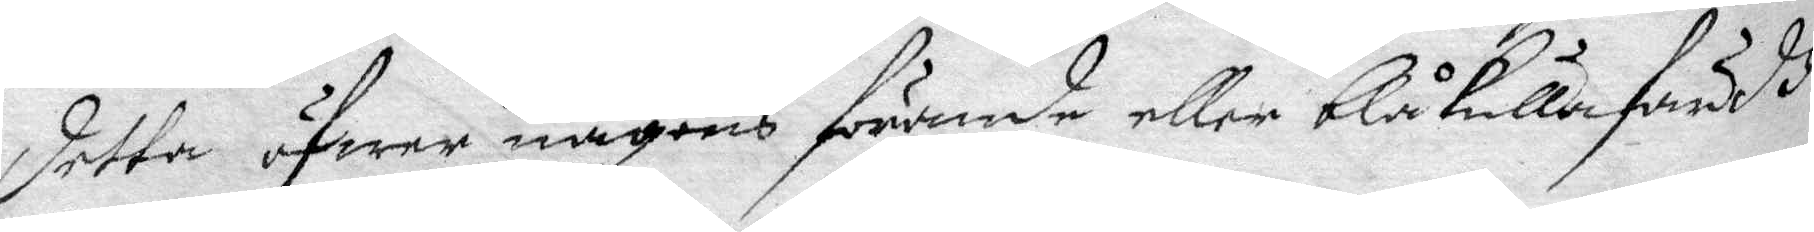detta öfwer någons förande eller blåkullafärdh
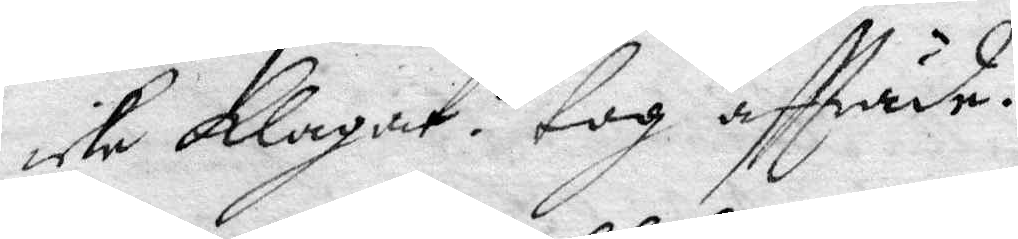icke Klagat. tog aftträde.
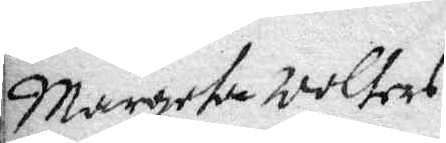Margeta Wolters
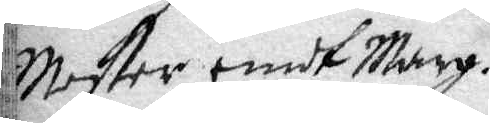Moster emot Marg.
